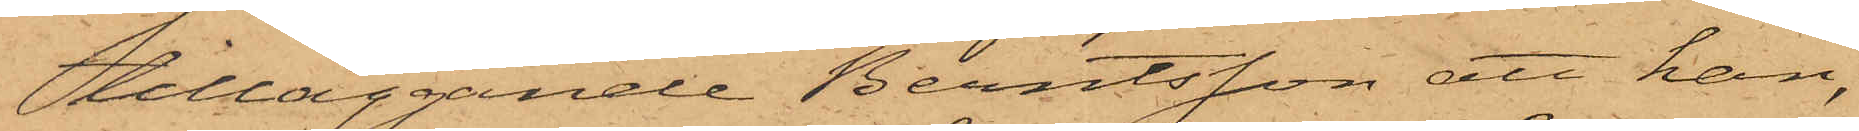tilläggande Berntsson att han,
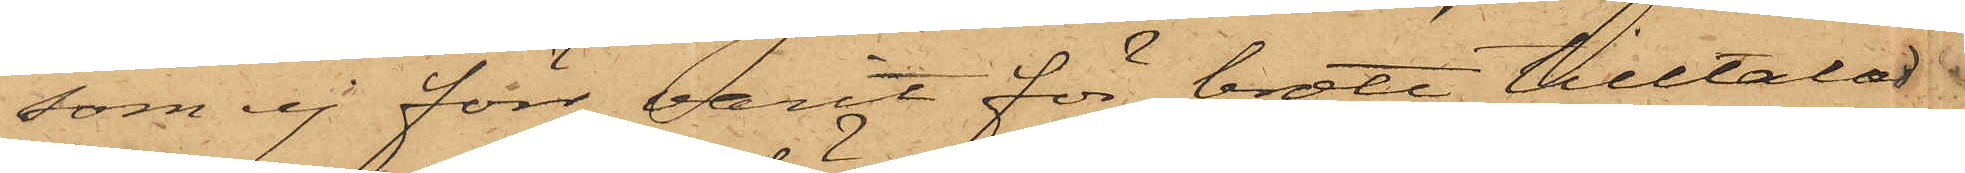som ej förr varit för brott tilltalad
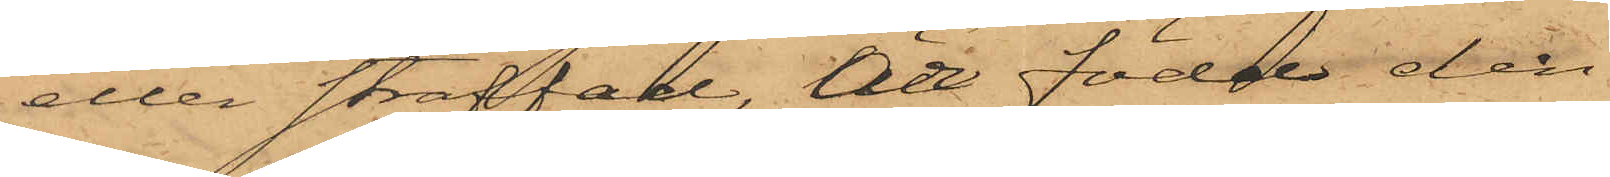eller straffad, Är född den
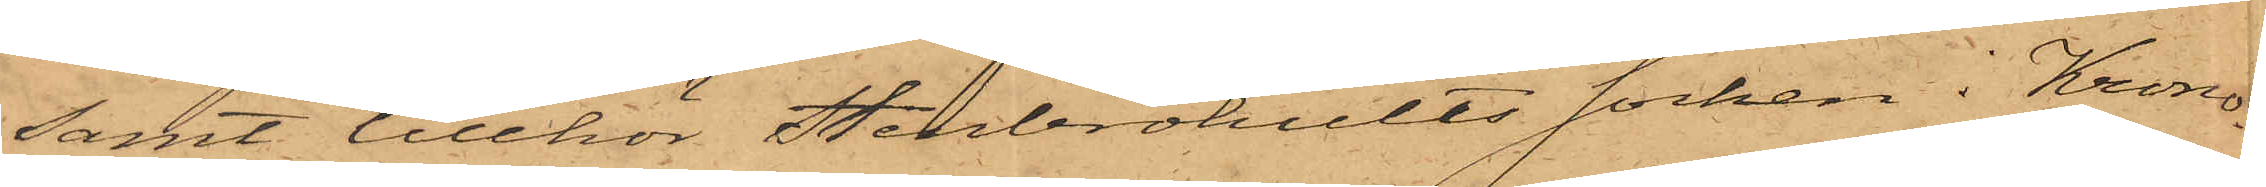samt tillhör Stenbrohults socken i Krono¬
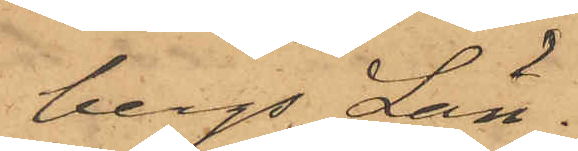bergs Län.
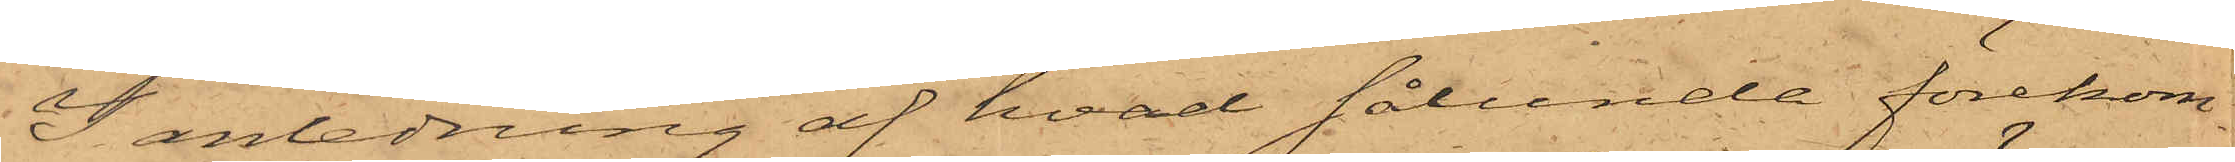I anledning af hvad sålunda förekom¬
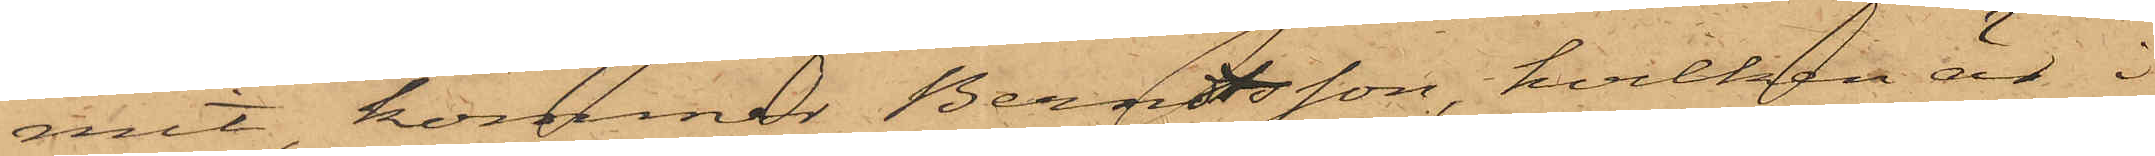mit, kommer Berntsson, hvilken är i
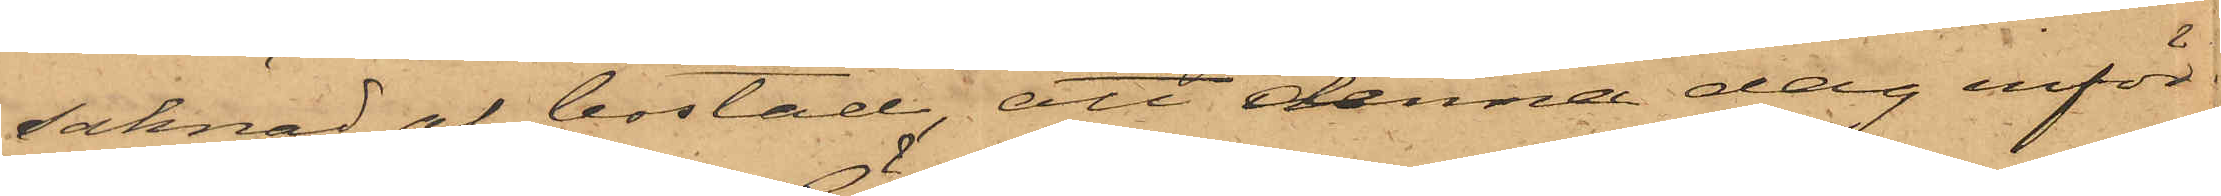saknad af bostad, att denna dag inför
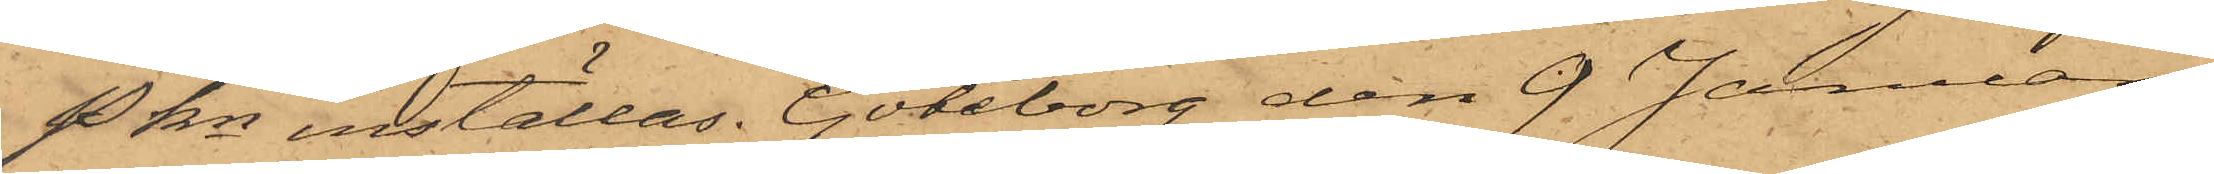Pkn inställas. Göteborg den 9 Januari
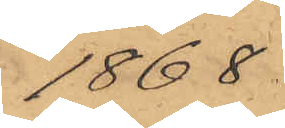1868
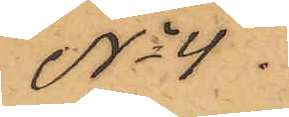No 4.
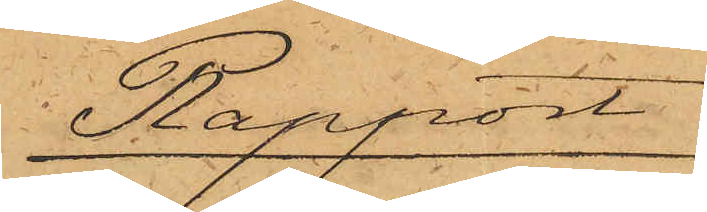Rapport
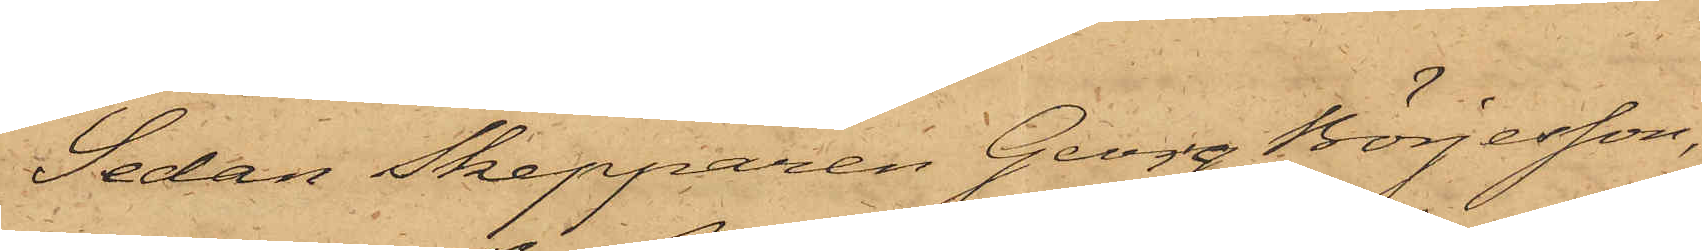Sedan Skepparen Georg Börjesson,
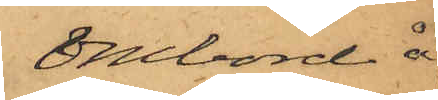ombord å
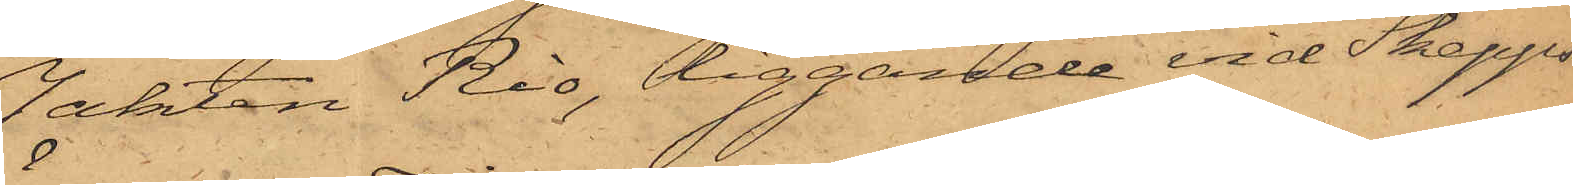Jakten Rio, liggande vid Skepps¬
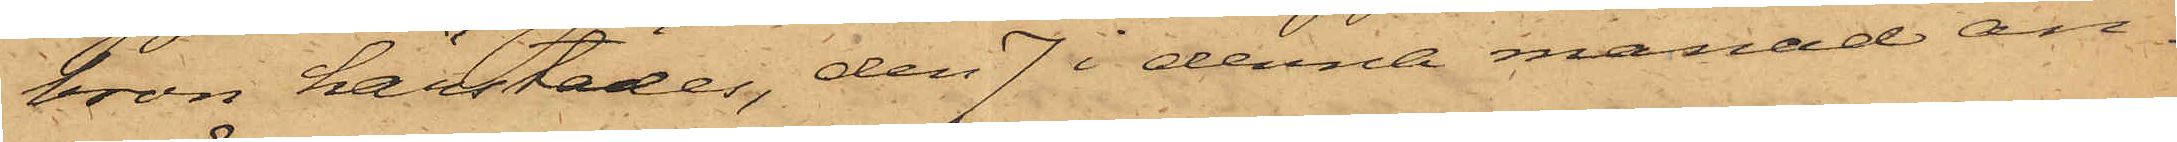bron härstädes, den 7 i denna månad an¬
